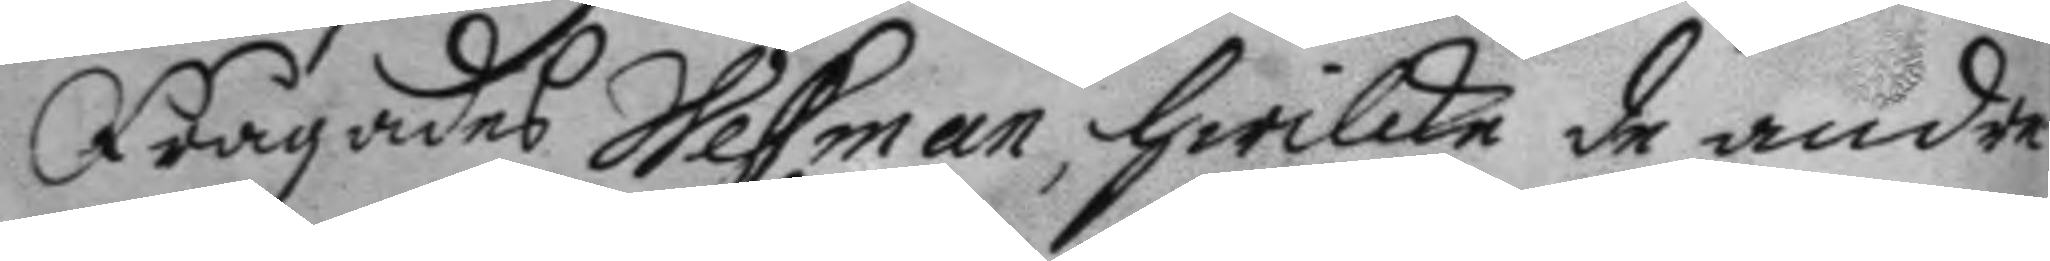Frågades Wessman, hwilke de andre
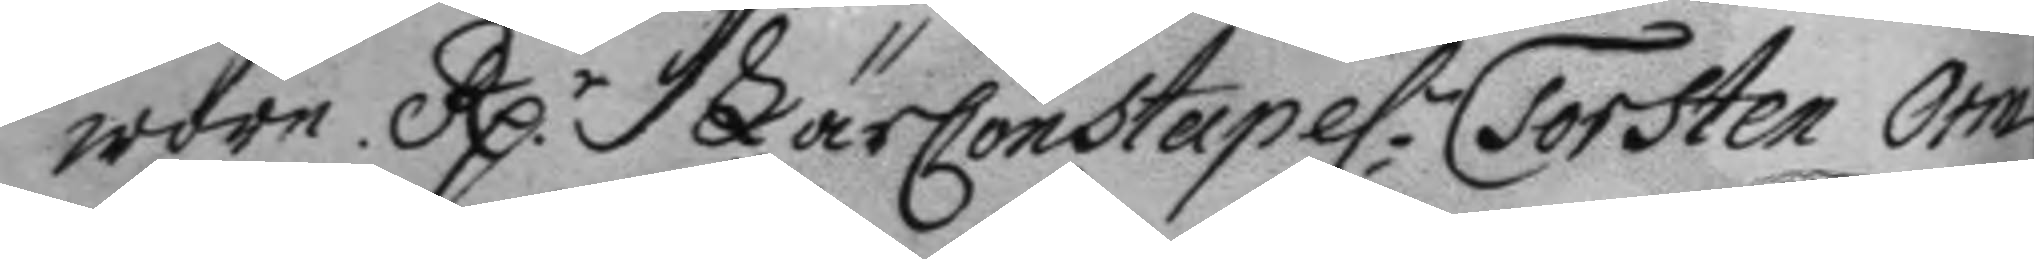wore. Rp.r LärConstapel:n Torsten Orm
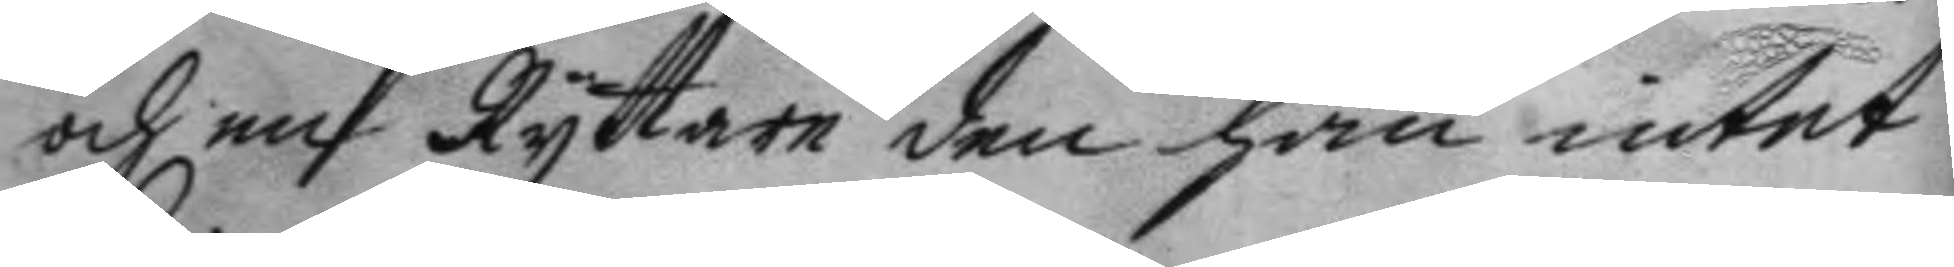och en Ryttare den han intet
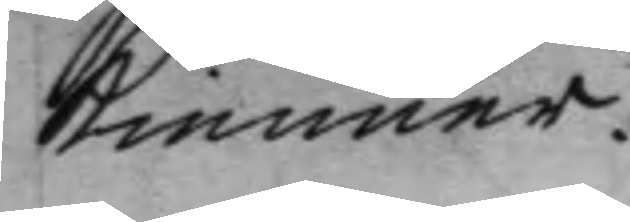kienner.
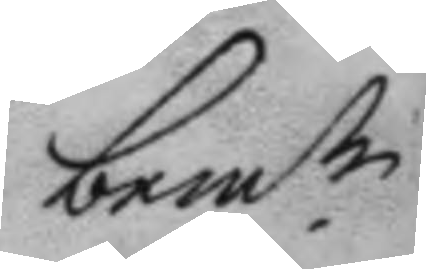bem.te
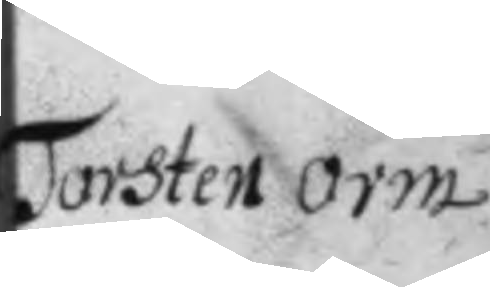Torsten Orm
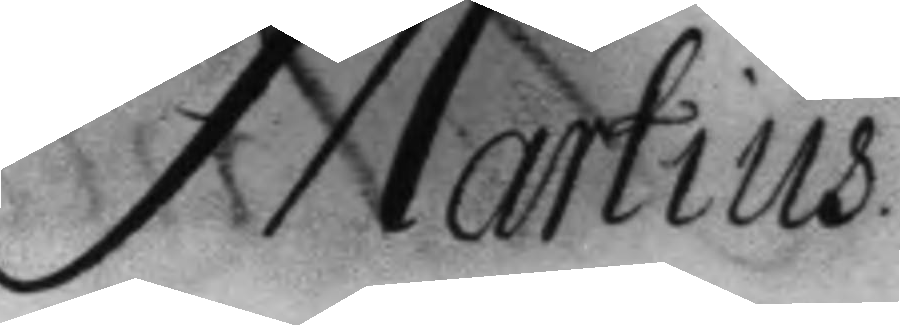Martius.
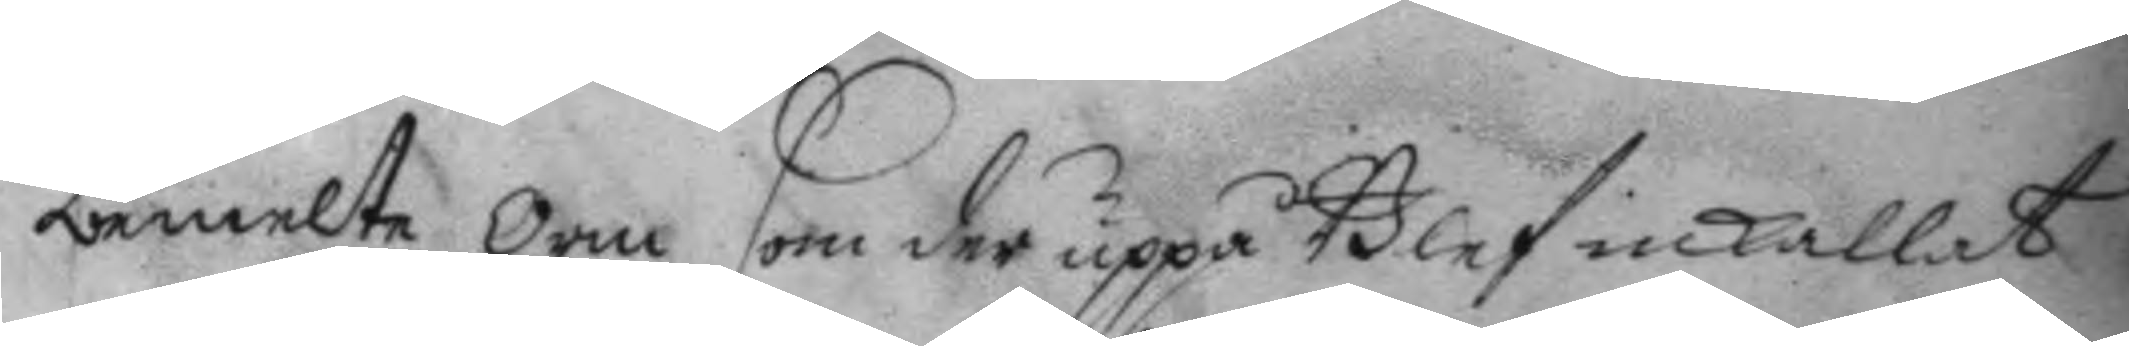bemelte Orm som der uppå Blef inkallat
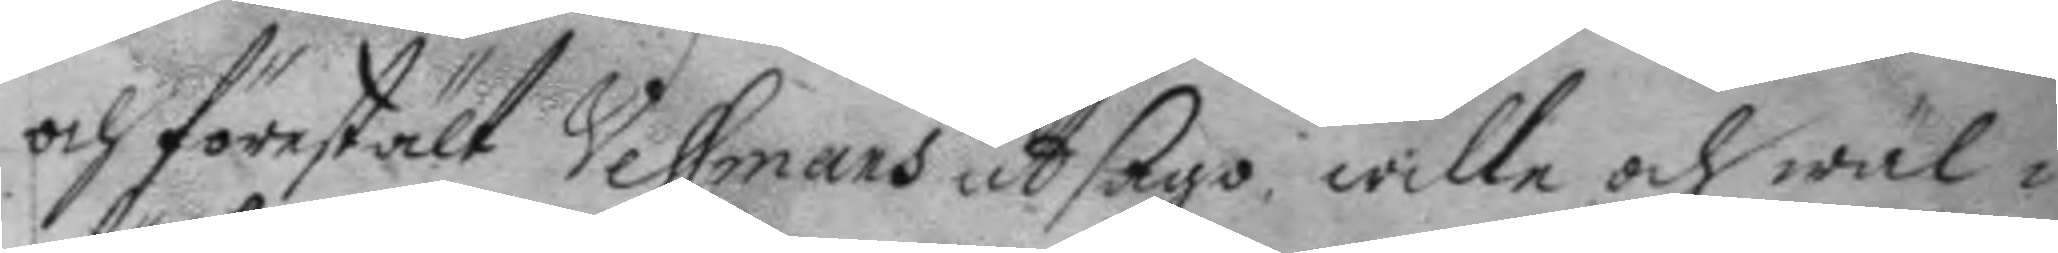och förestält Vessmans utsago, wille och wäl i
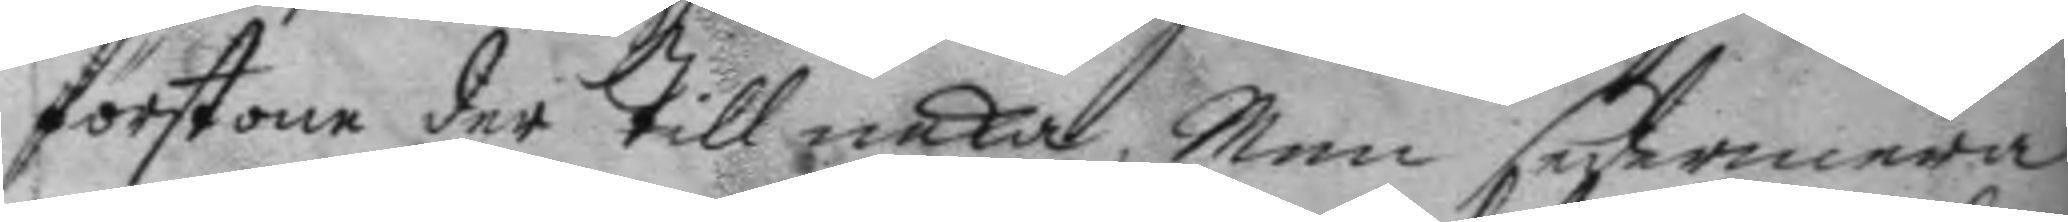förstone der till neka, Men sedermera
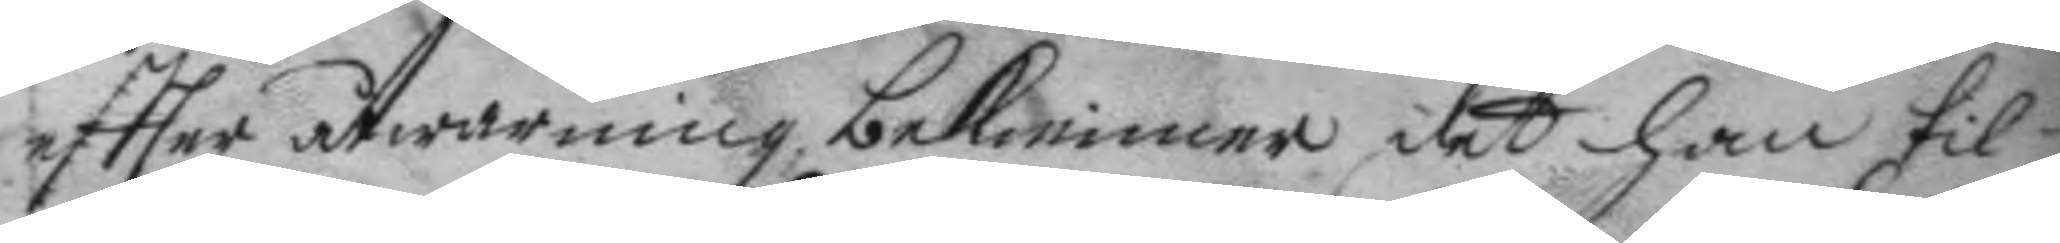eftter åtwarning bekienner det han til¬
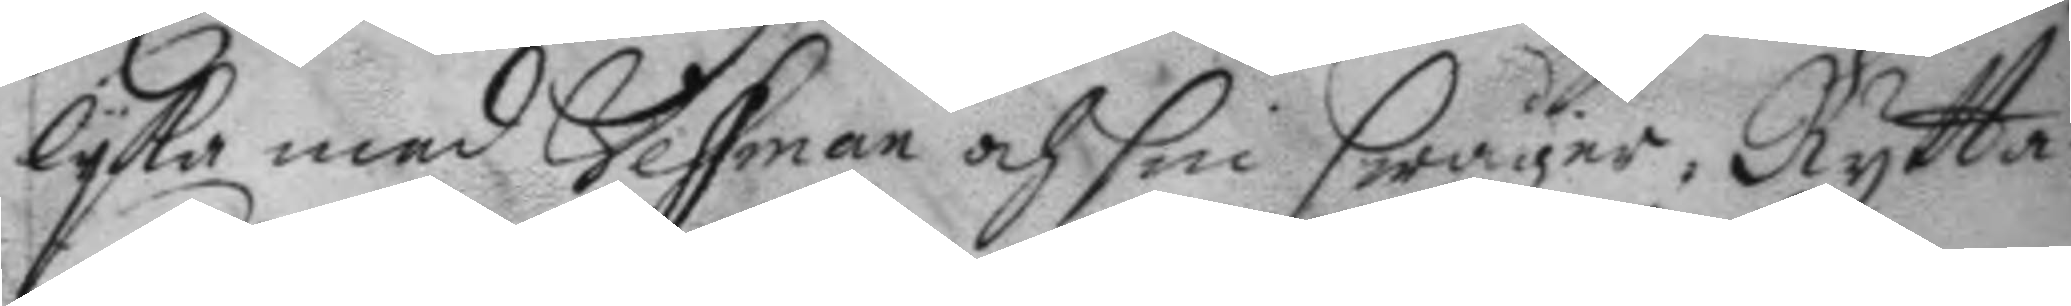lyka med Vessman och sin swåger, Rytta¬
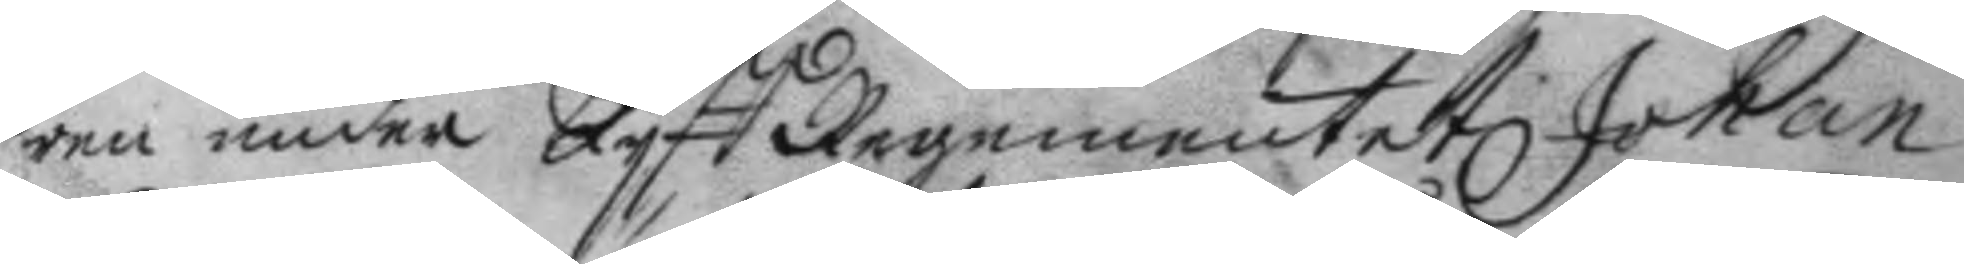ren under LyffRegementet Johan
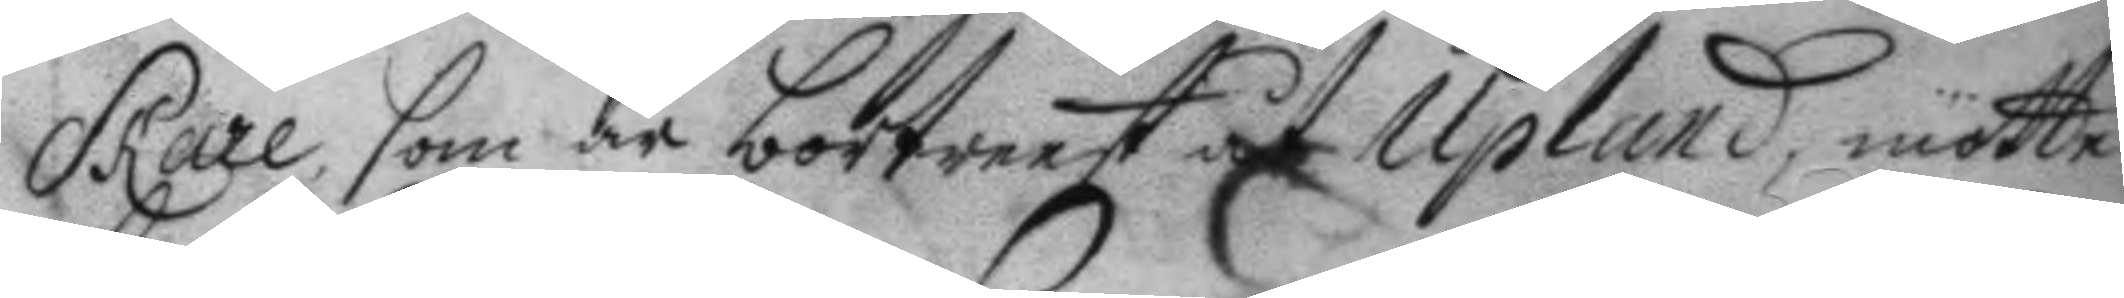Skare, som är bortreest åt Upland, mötte
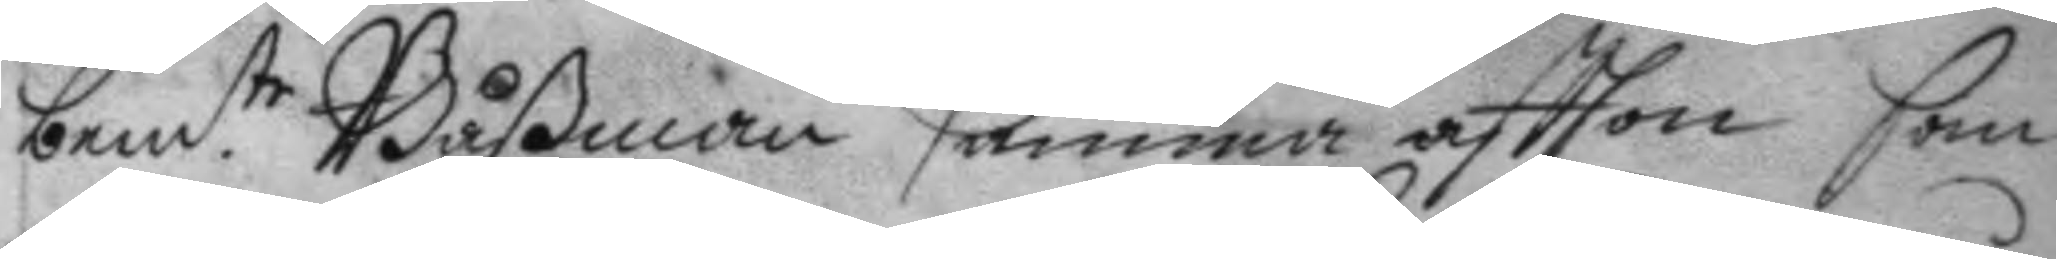bem.te Båßman samma aftton som
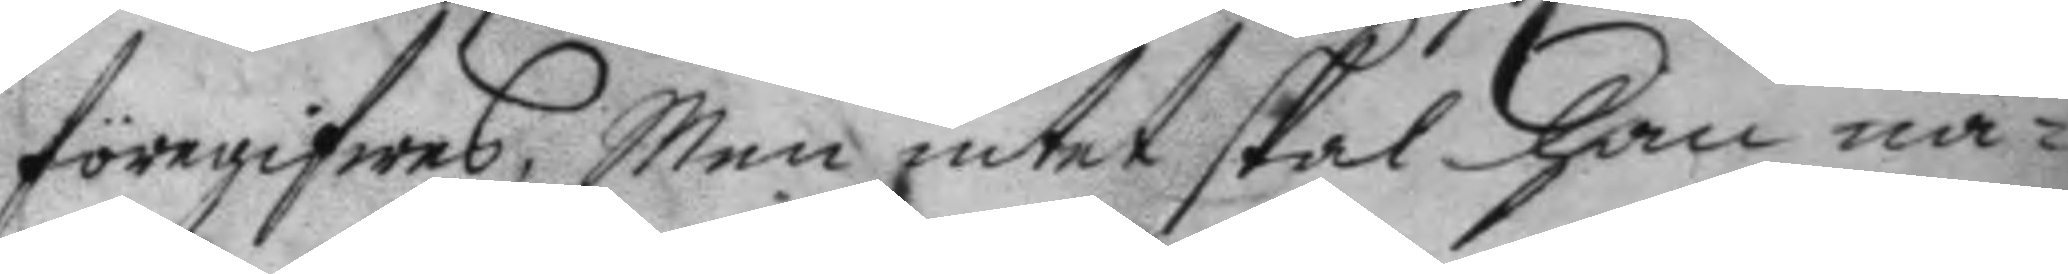föegifwes, Men intet skal han nå¬
